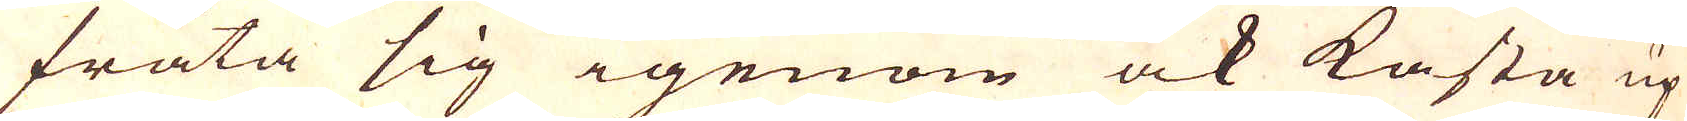fräta sig igenom ock kasta up
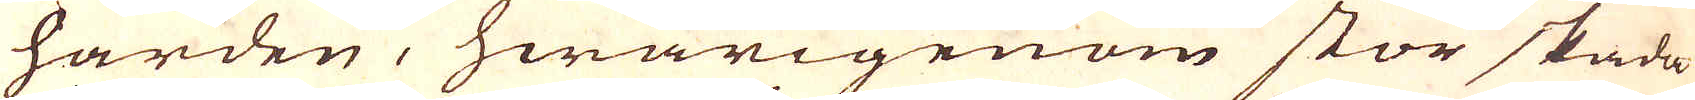härden, hwarigenom stor skada
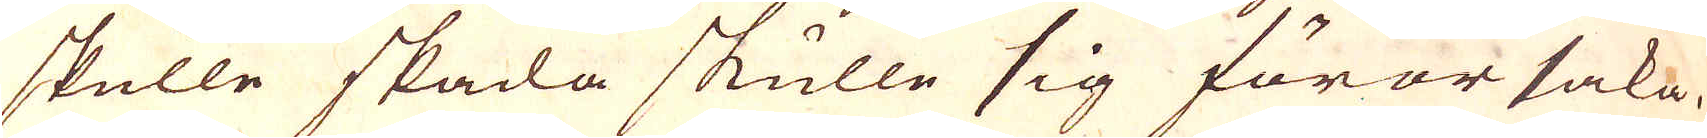skulle skada skulle sig förorsaka.
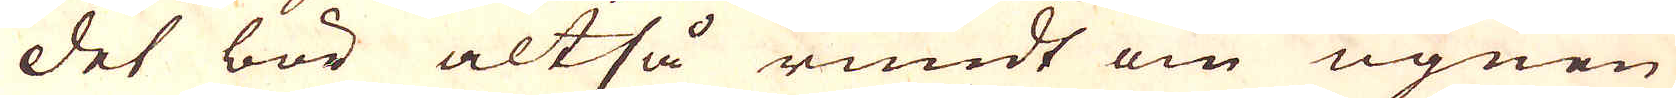Det bör altså rundt om ugnen
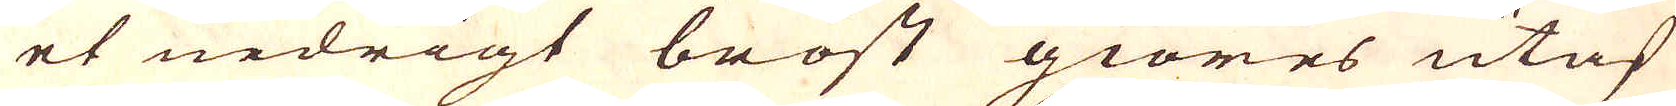et nedrigt bröst giöres utaf
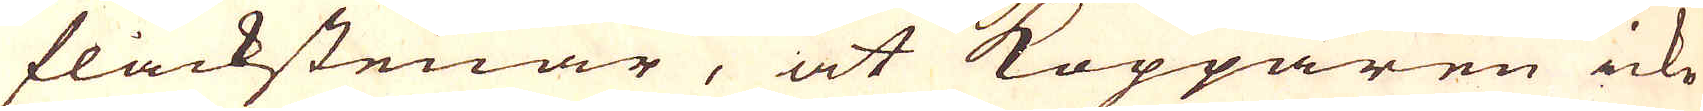flackstenar, at Kopparen icke
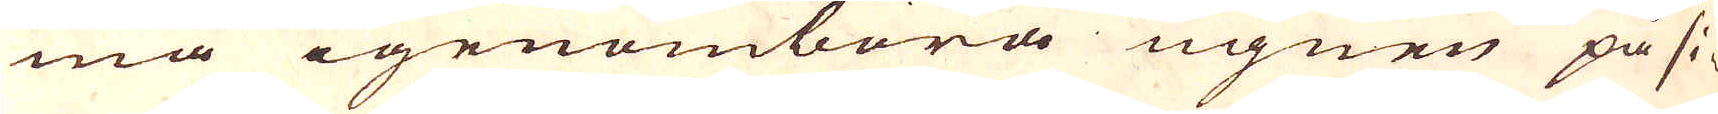må igenombora ugnen på si-
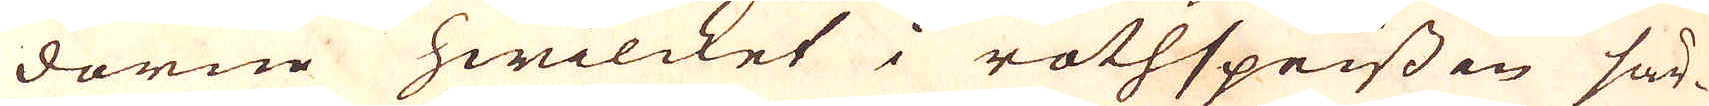dorne hwilcket i rothspeissen sär-
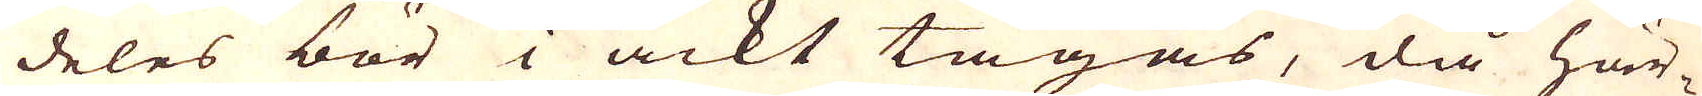deles bör i ackt tagas, då här-
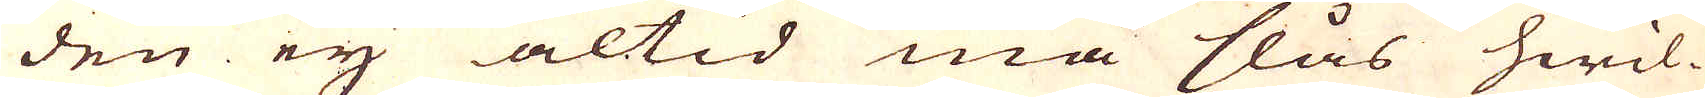den ey altid må slås hwil-
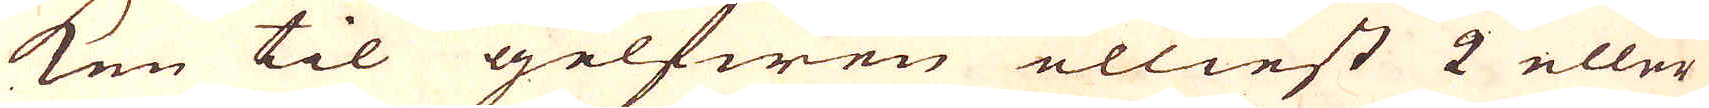ken til golfwen elliest 2 eller
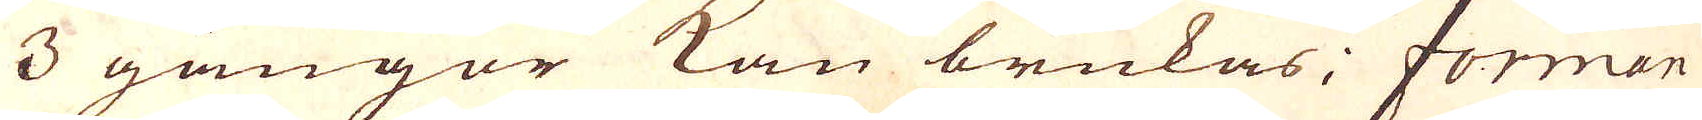3 gångor kan brukas; forman
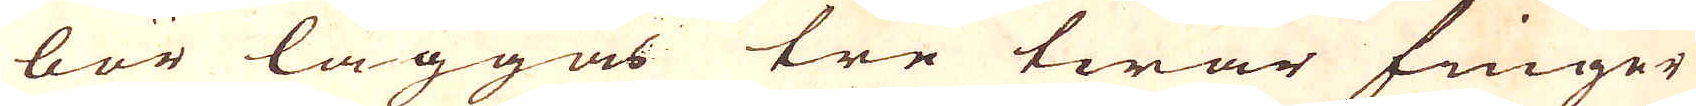bör läggas tre twär finger
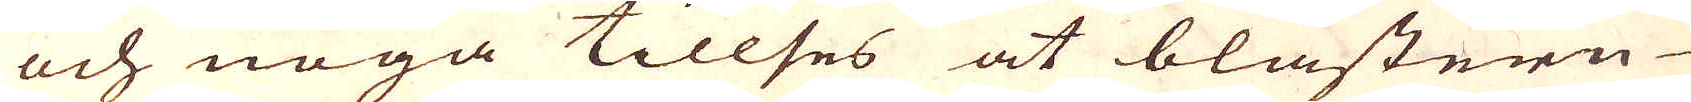och noga tillses at blästern
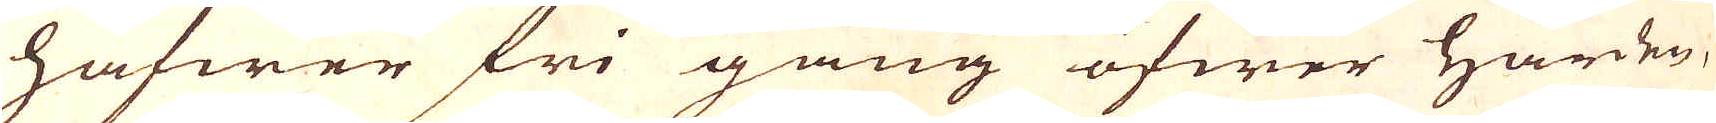hafwer fri gång öfwer härden,
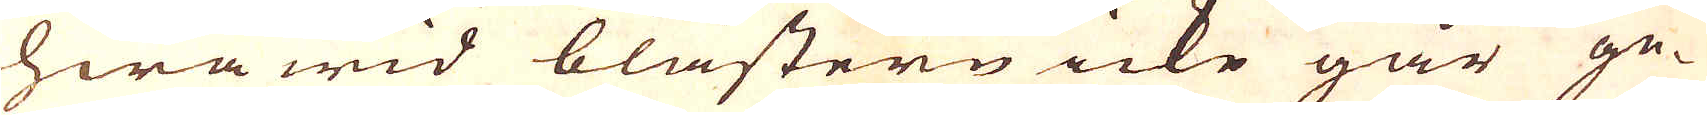hwarwid blästern icke går ge-
